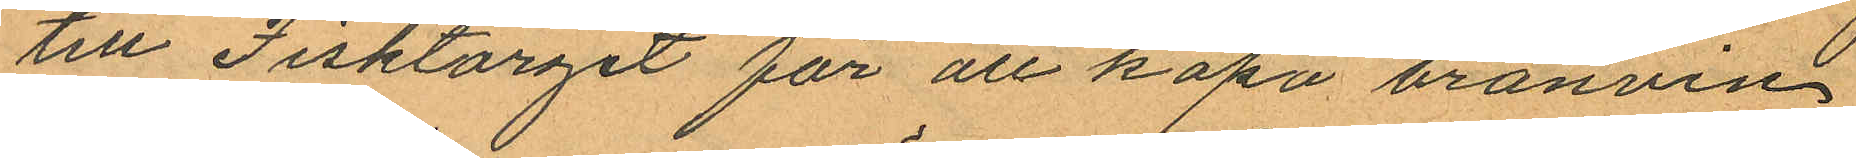till Fisktorget för att köpa bränvin,
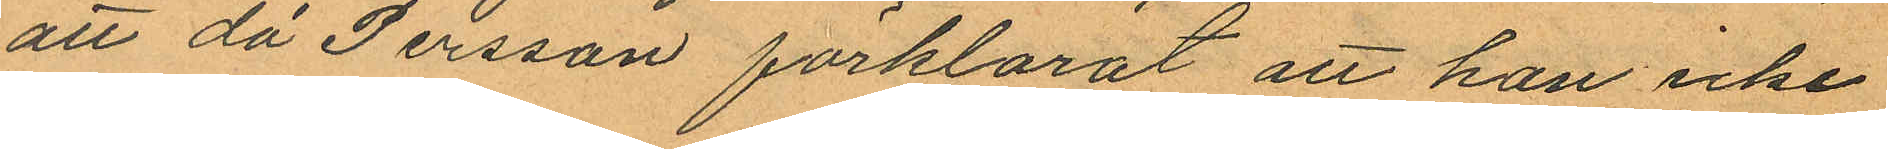att då Persson förklarat att han icke
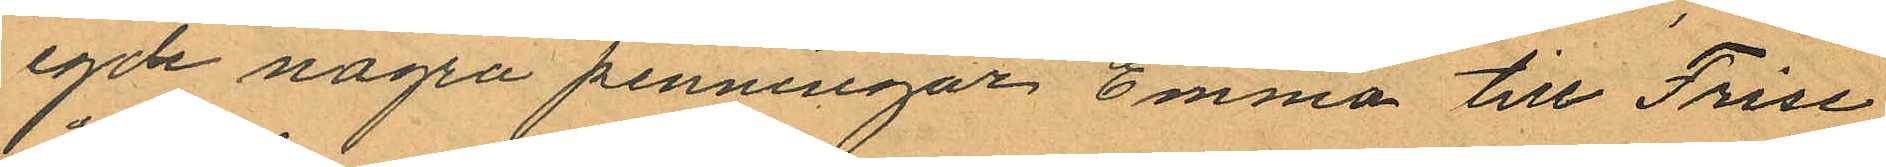egde några penningar Emma till Frise
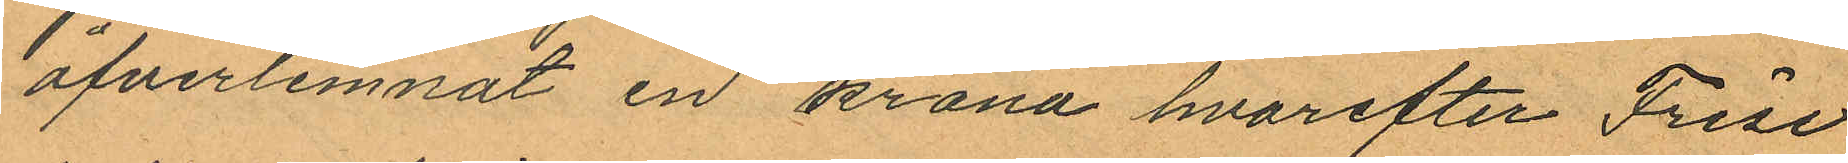öfverlemnat en krona hvarefter Frise
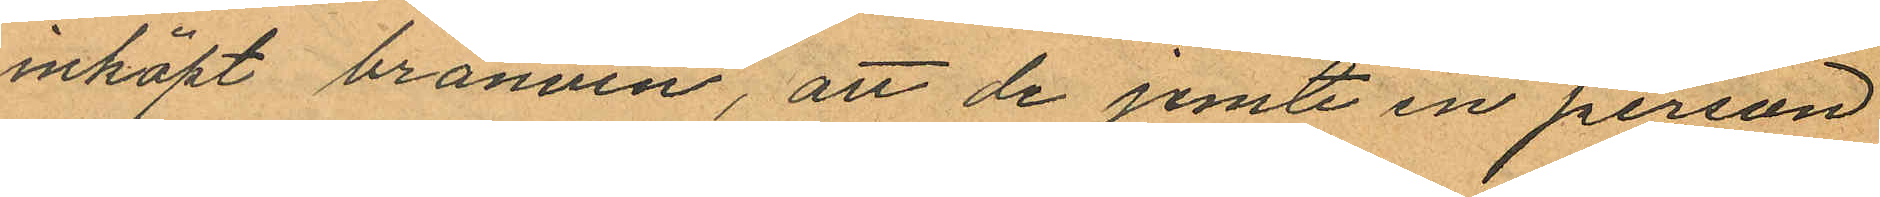inköpt bränvin, att de jemte en person
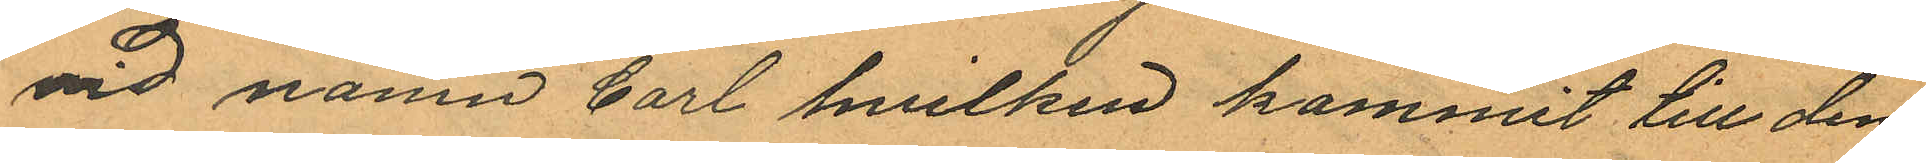vid namn Carl hvilken kommit till dem
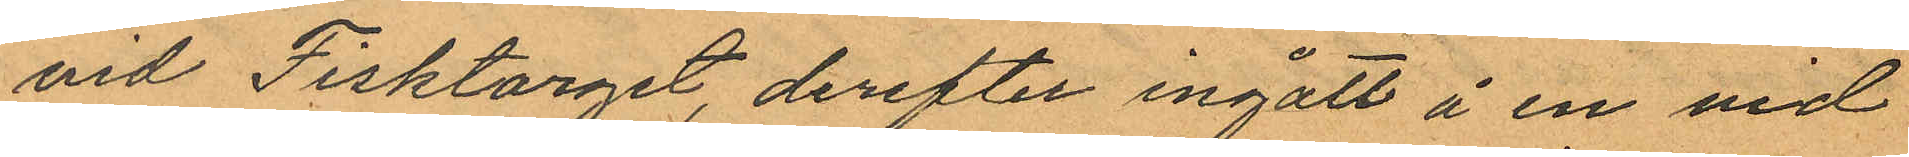vid Fisktorget, derefter ingått å en vid
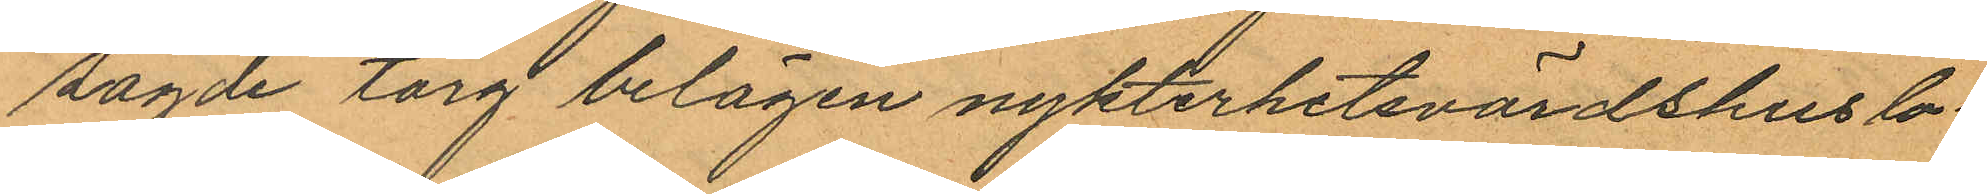sagde torg belägen nykterhetsvärdshuslo¬
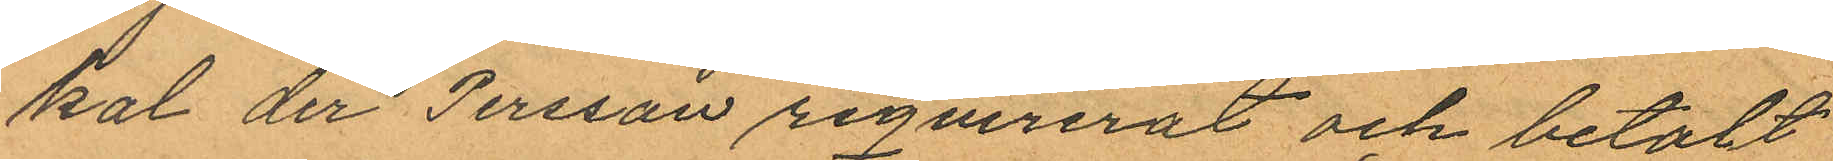kal der Persson reqvirerat och betalt
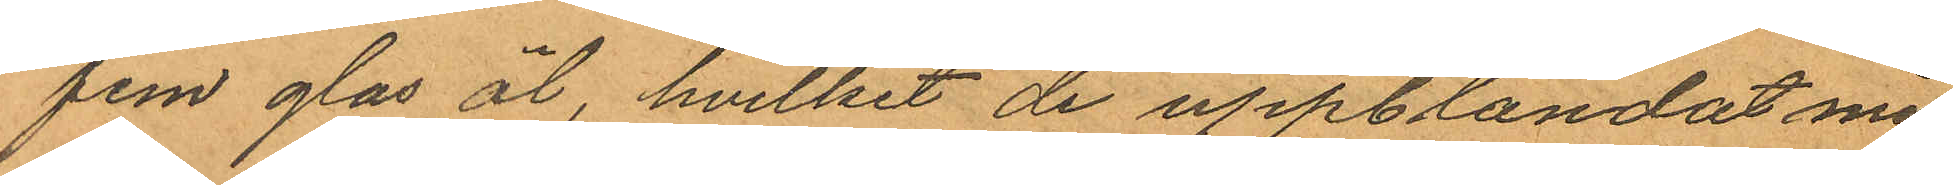fem glas öl, hvilket de uppblandat med
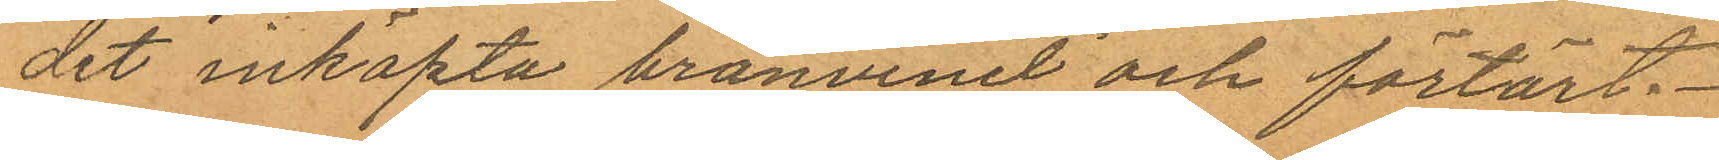det inköpta bränvinet och förtärt.
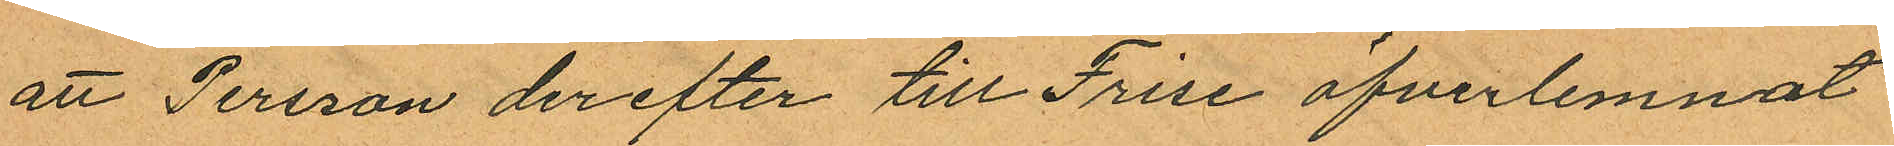att Persson derefter till Frise öfverlemnat
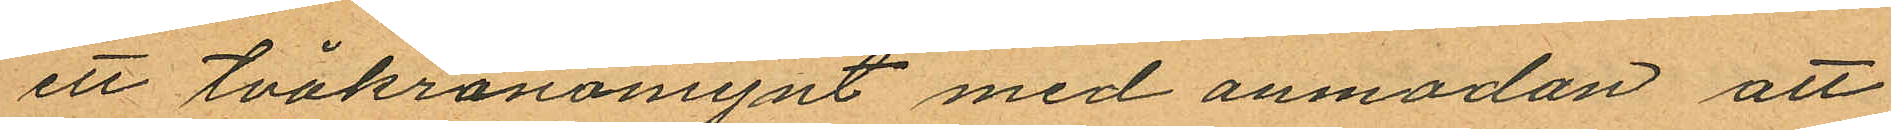ett tvåkronomynt med anmodan att
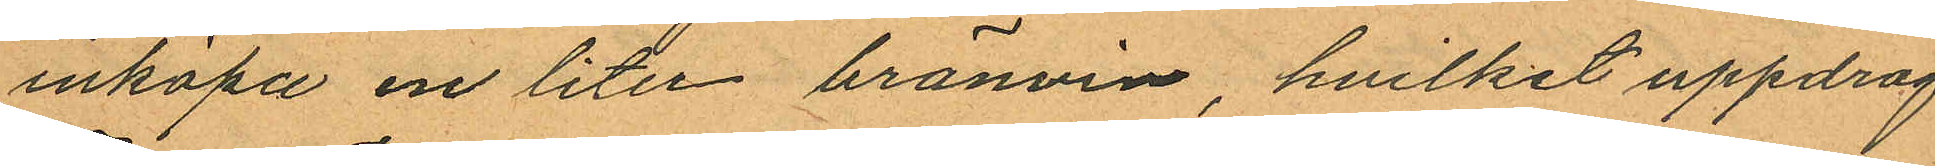inköpa en liter bränvin, hvilket uppdrag
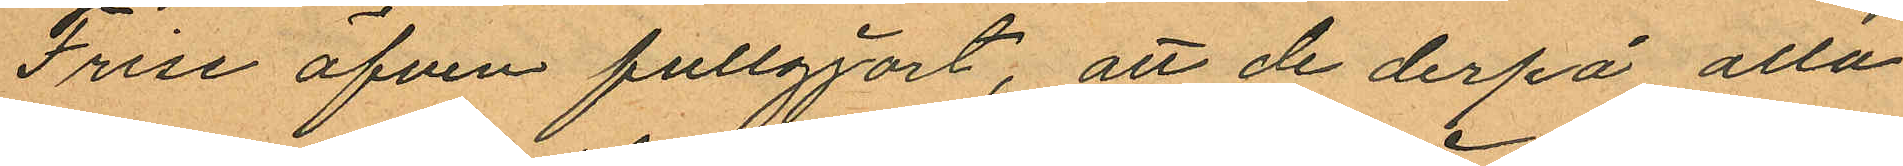Frise äfven fullgjort, att de derpå alla
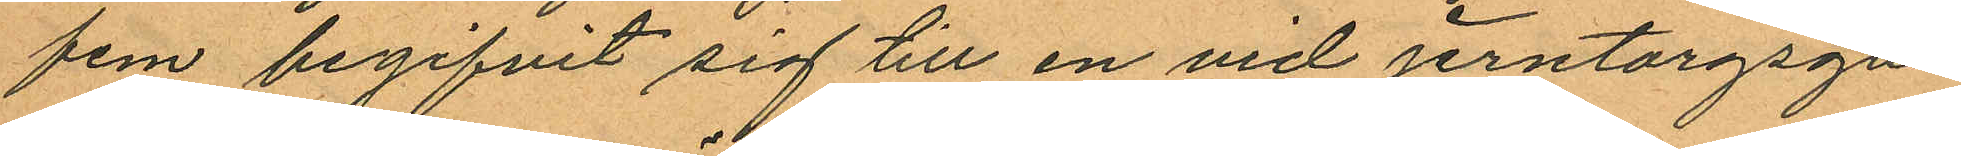fem begifvit sig till en vid Jerntorgsga¬
